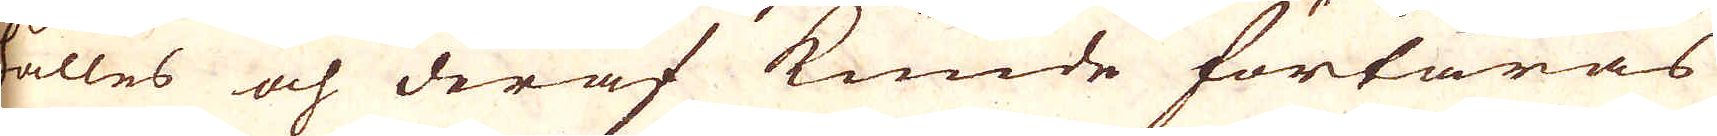hålles och deraf kunde förtäras
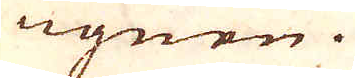i ugnen.
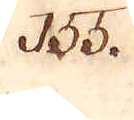155.
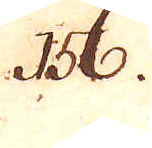156.
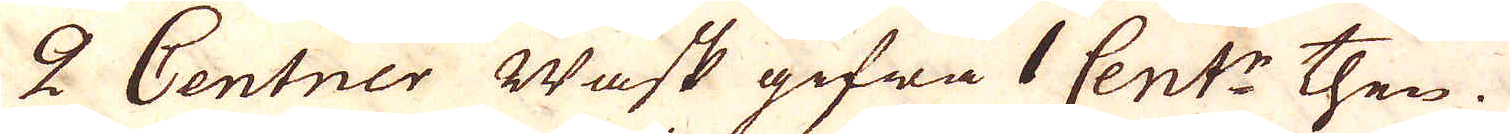2 Centner Wask gifwa 1 Cent:r then.
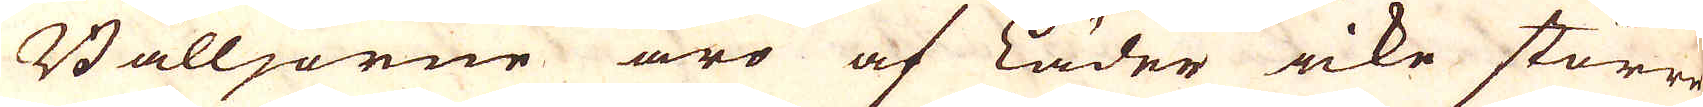Bälljorne äro af Läder icke större
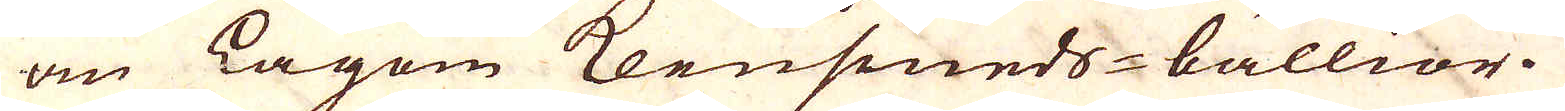än Lagom klensmeds-bällior.
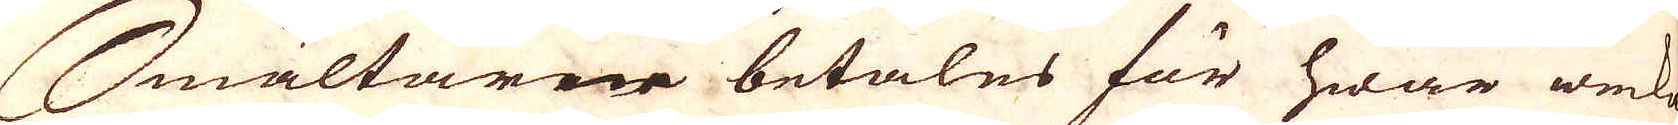Smältarene betales för hwar wecka
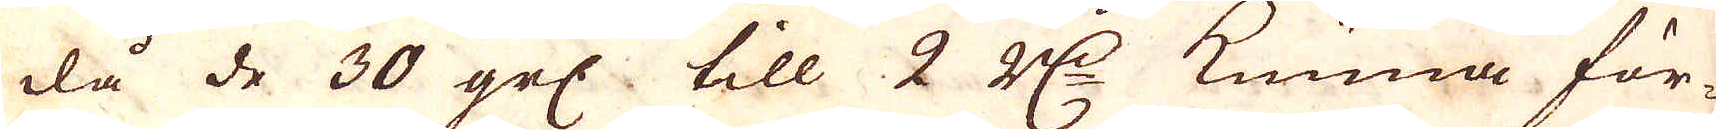då de 30 grs: till 2 R:r kunna för-
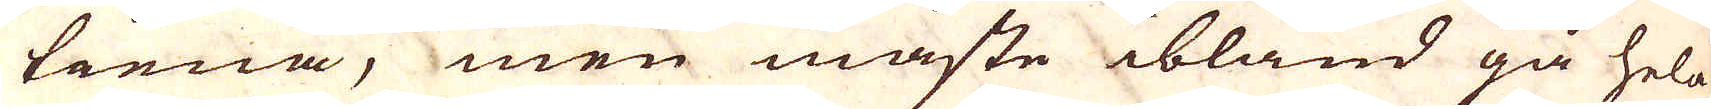tiena, men måste ibland gå hela
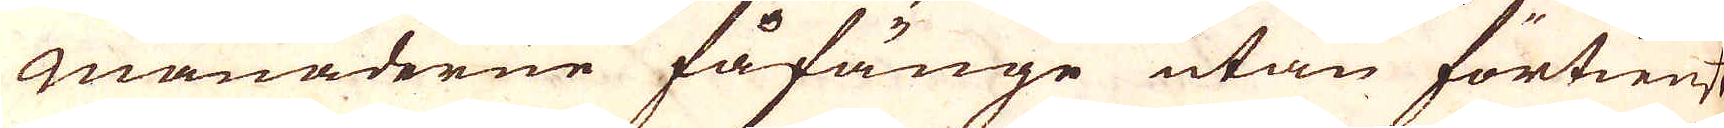Månaderne fåfänge utan förtienst
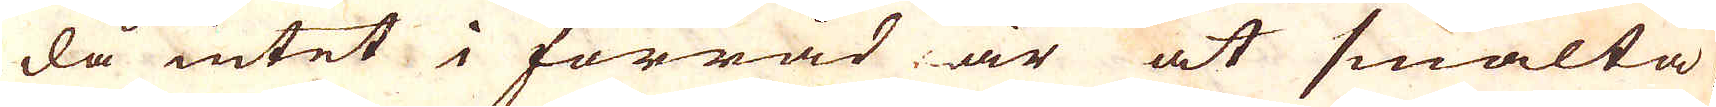då intet i förråd är at smälta,
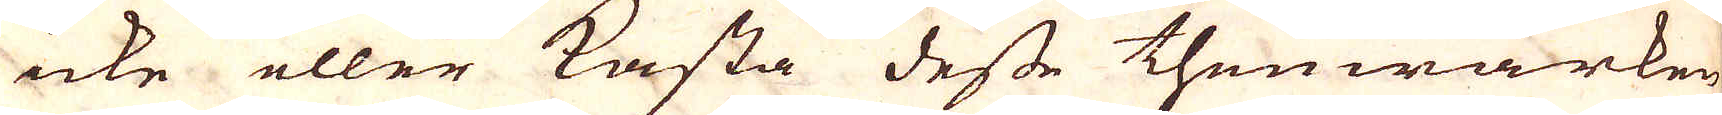icke eller kasta desse thenwärken
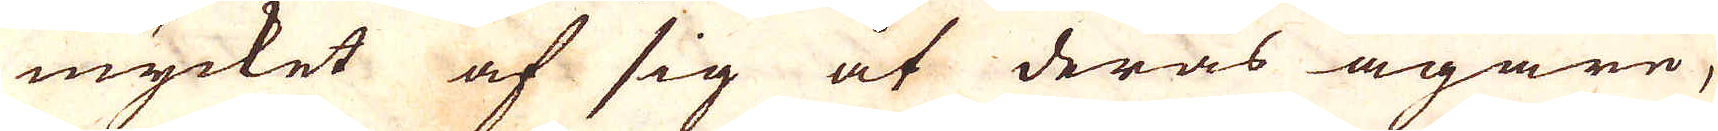mycket af sig at deras ägare,
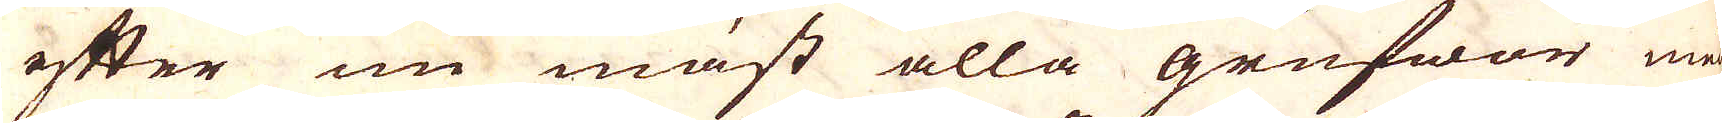efter nu mäst alla grufwor må
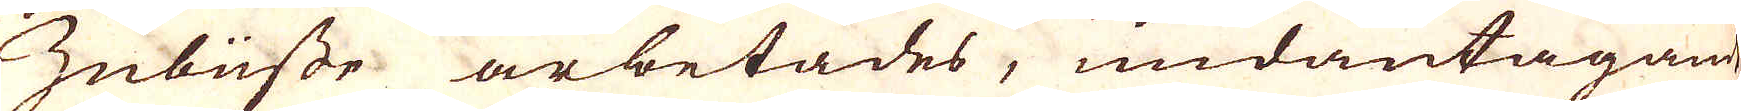Inbüsse arbetades, undantagande
